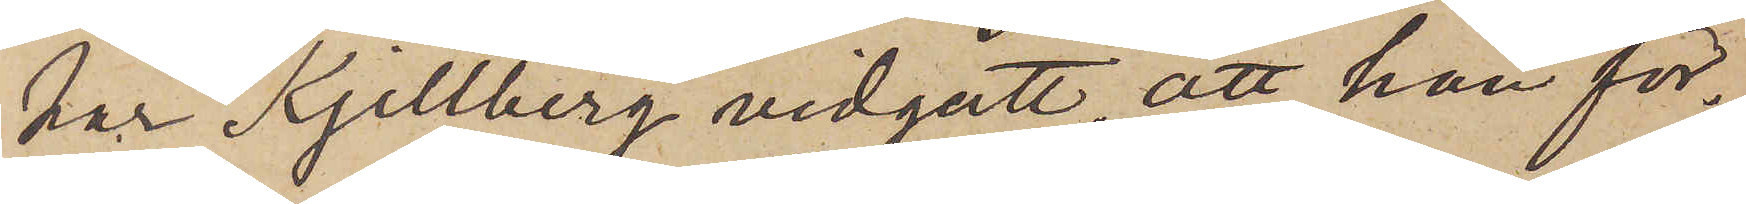har Kjellberg vidgått, att han för¬
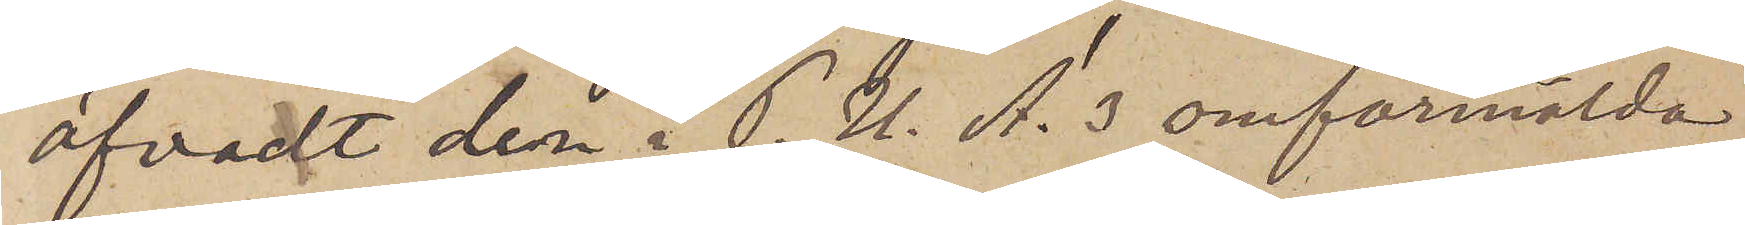öfvadt den i P.U. A. 3 omförmälda
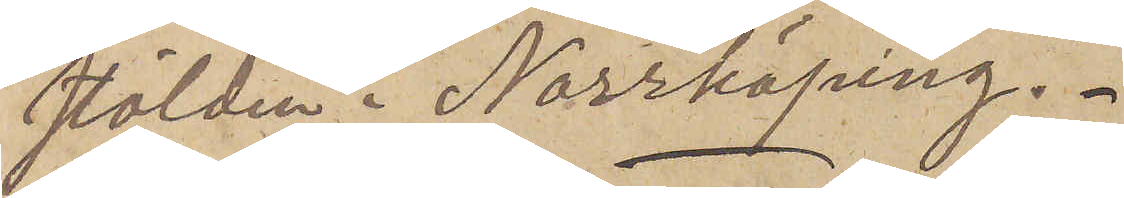stölden i Norrköping.
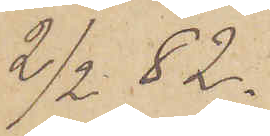2/2 82.
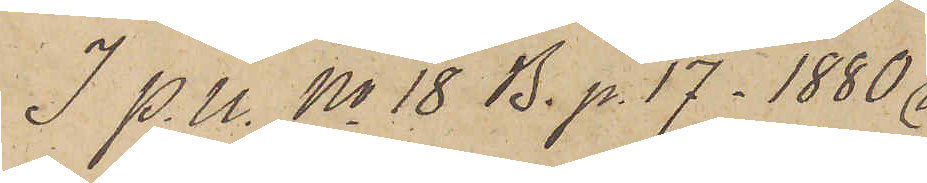I P. U. No 18 B. p. 17_1880
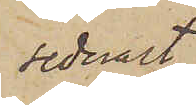sednast
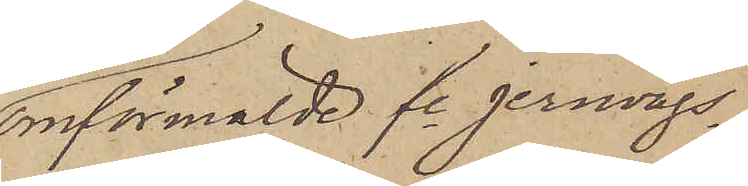omförmälde fe Jernvägs¬
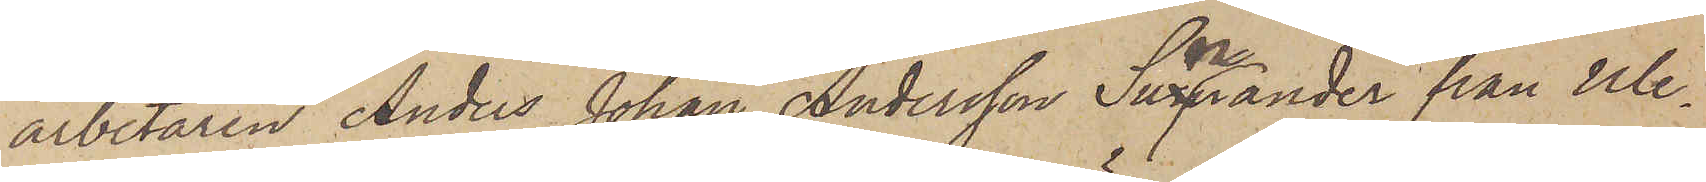arbetaren Anders Johan Andersson Sunnander från Ule¬
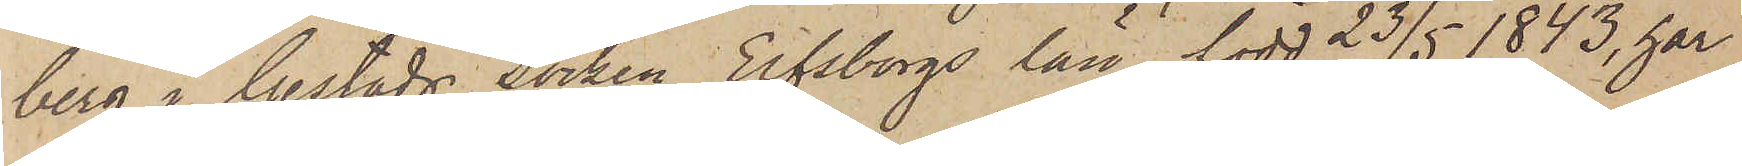berg i Gestads Socken Elfsborgs län, född 23/5 1843, har
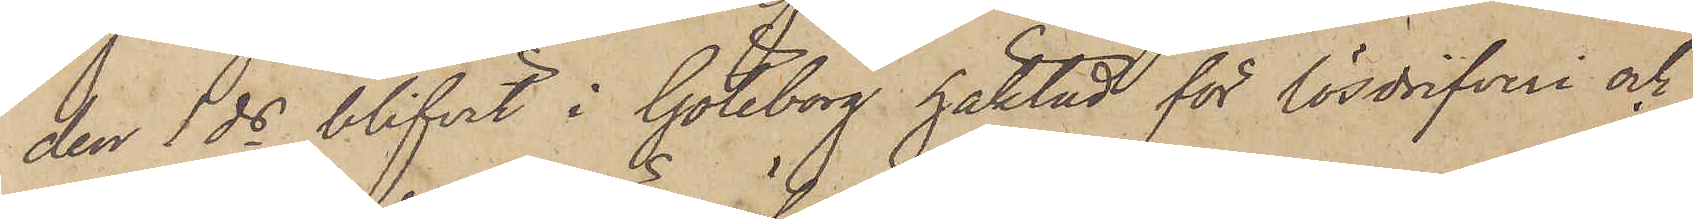den 1 ds blifvit i Göteborg häktad för lösdrifveri och
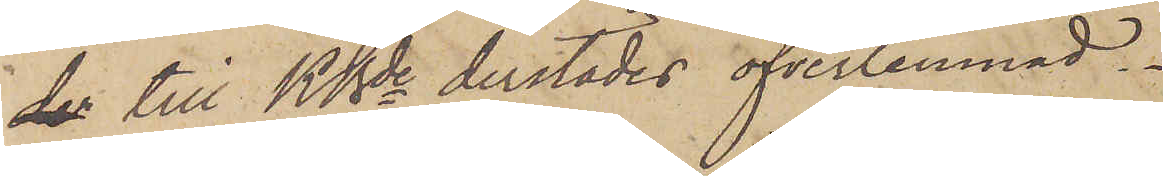de till KBde derstädes öfverlemnad.
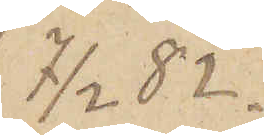7/2 82.
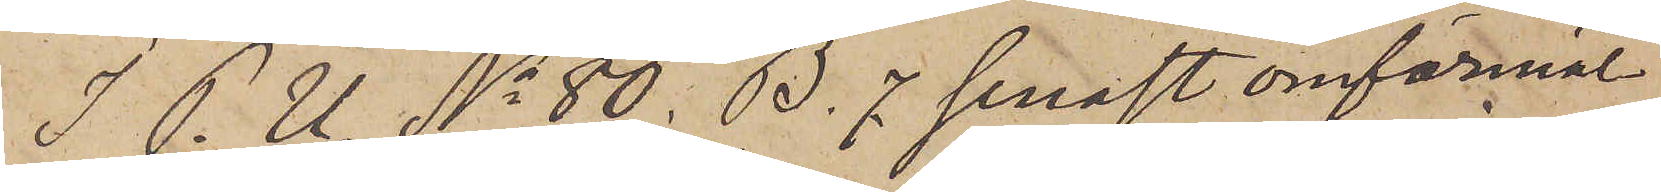I P. U. No 80. B. 7 senast omförmäl¬
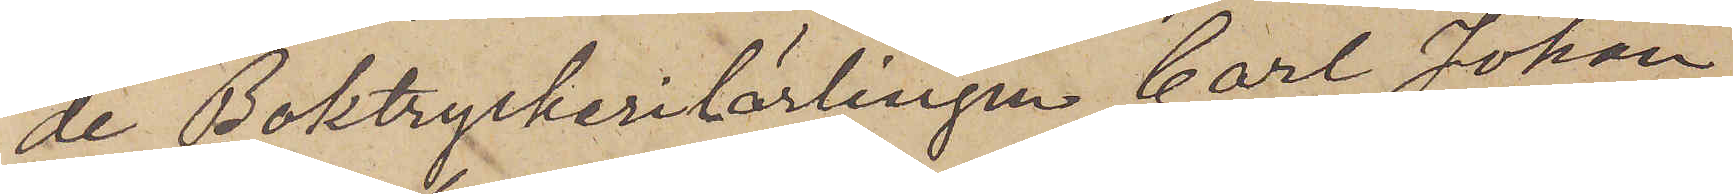de Boktryckerilärlingen Carl Johan
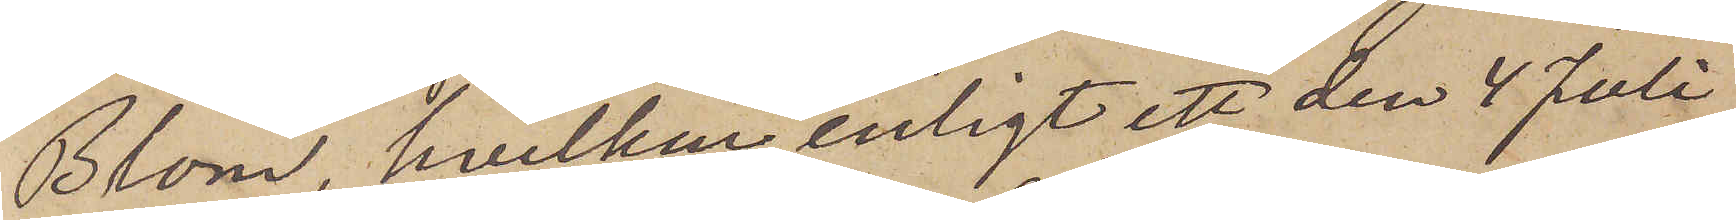Blom, hvilken, enligt ett den 4 Juli
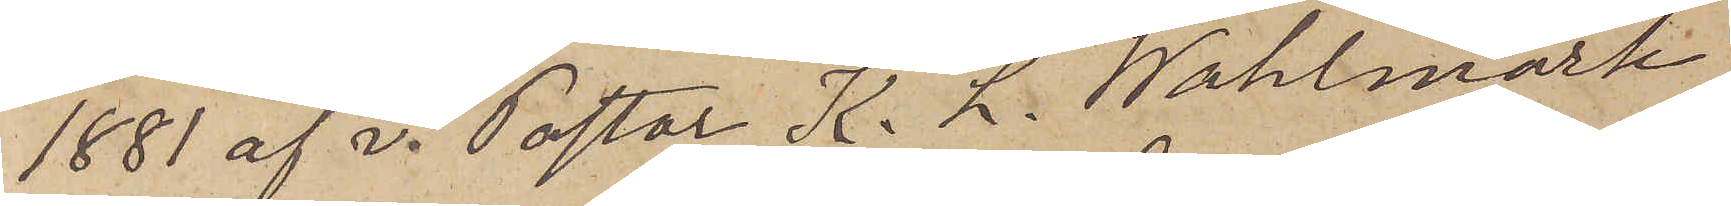1881 af v. Pastor K. L. Wahlmark
